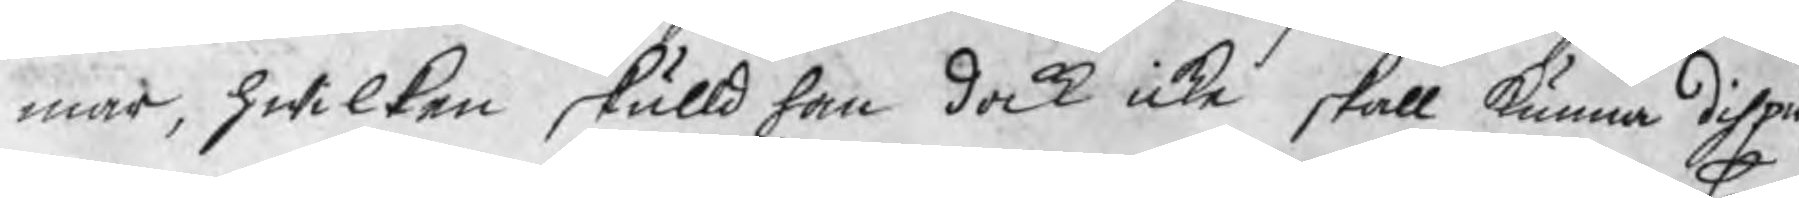mar, hwilken skulld han dock icke skall kunna dispu¬
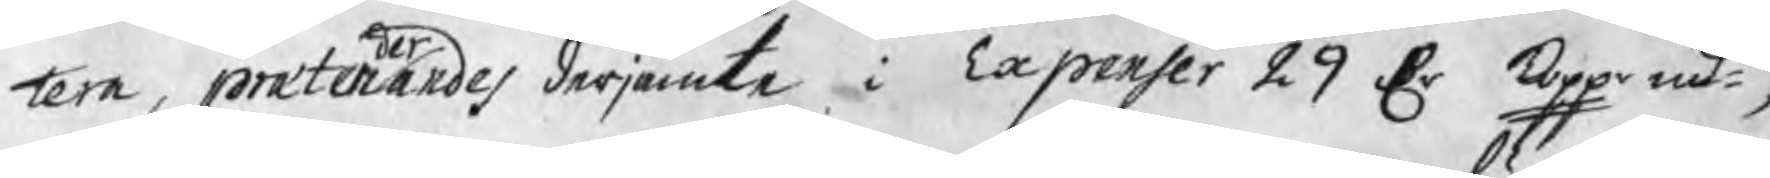tera, prætenderades derjämte i Expenser 29 Dr kopp mt, 
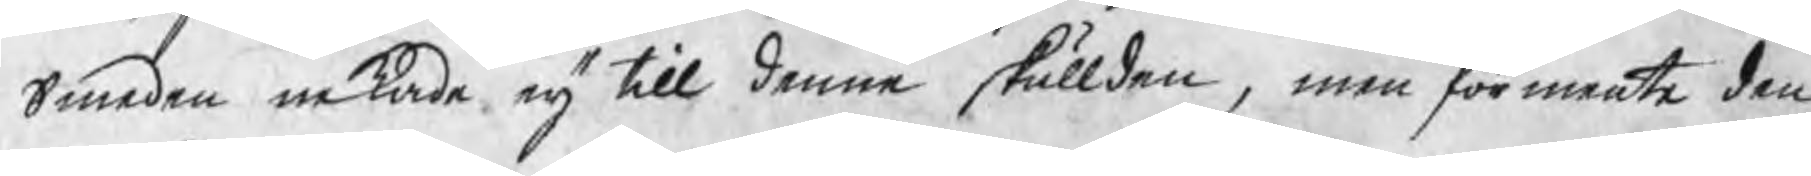Smeden nekade eij till denne skullden, men förmente den
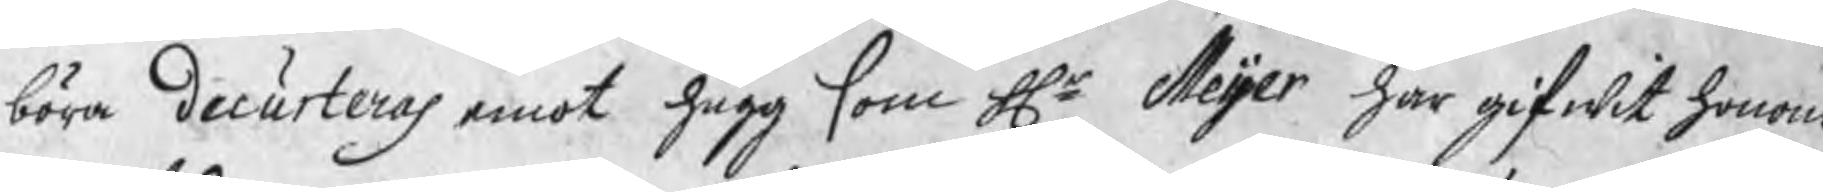böra decurteras emot hugg som Hr Meijer har gifwit honom
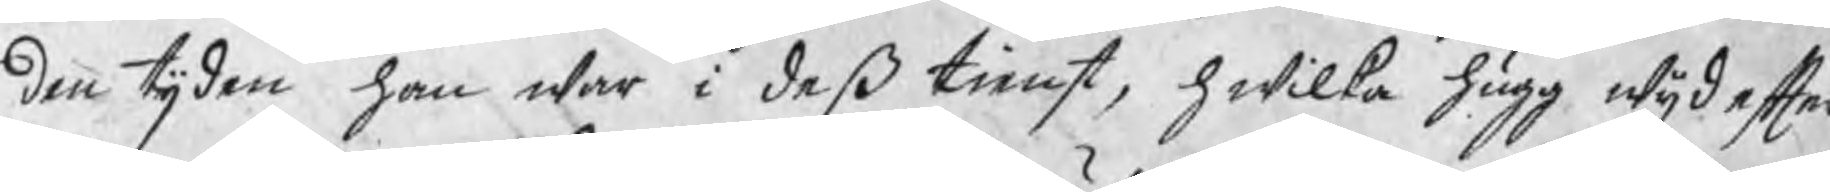den tijden han war i deß tienst, hwilka hugg wijd efter¬
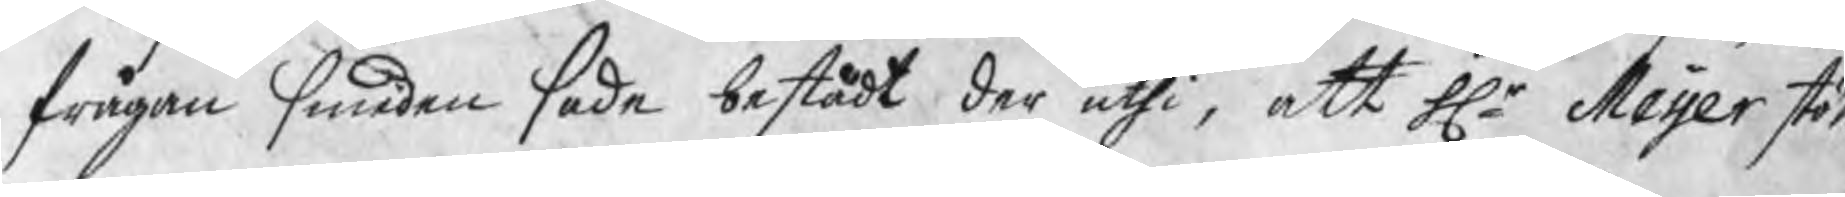frågan smeden sade bestådt der uthi, att Hr Meijer stött
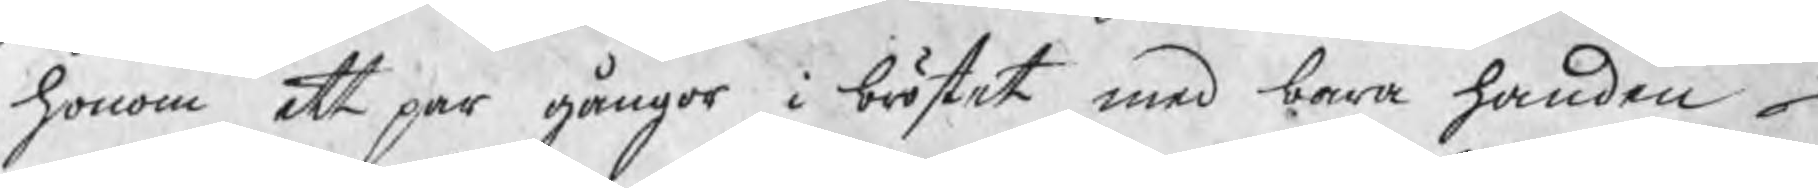honom ett par gångor i bröstet med bara handen
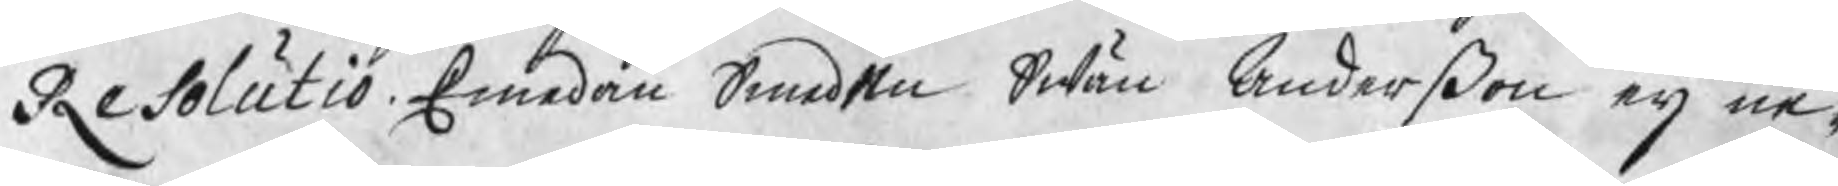Resolutio. Emedan Smeden Swän Anderßon eij ne¬
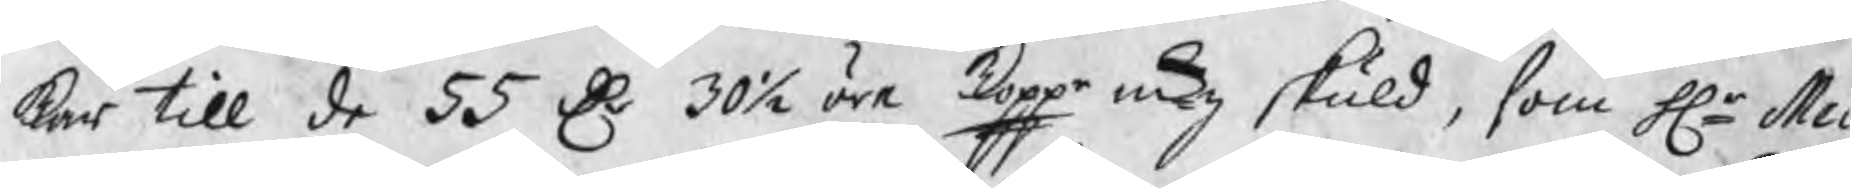kar till de 55 Dr 30½ öre koppr mtz skuld, som Hr Mei¬
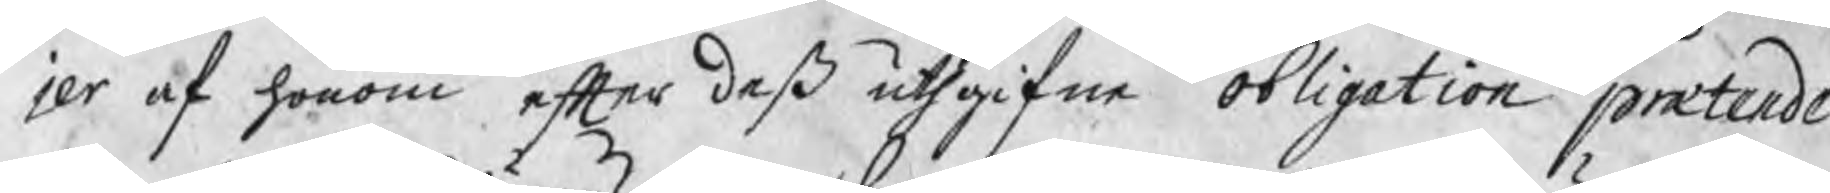jer af honom efter deß uthgifne obligation prætende¬
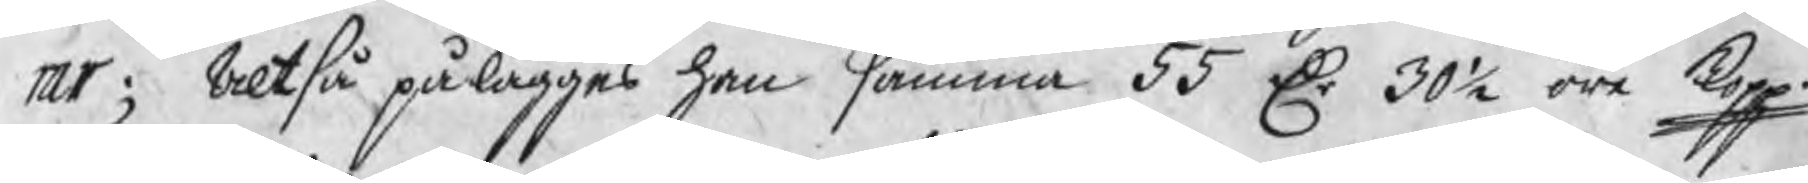rar; Altså pålägges han samma 55 Dr 30½ öre kopp
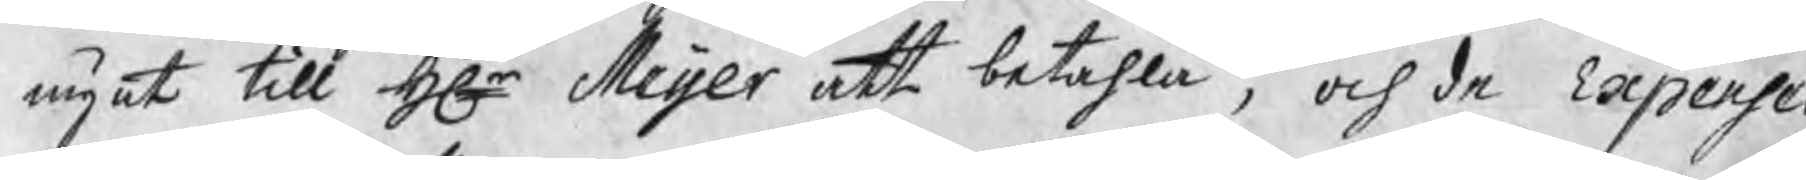mynt till Hr Meijer att betahla, och de Expenser
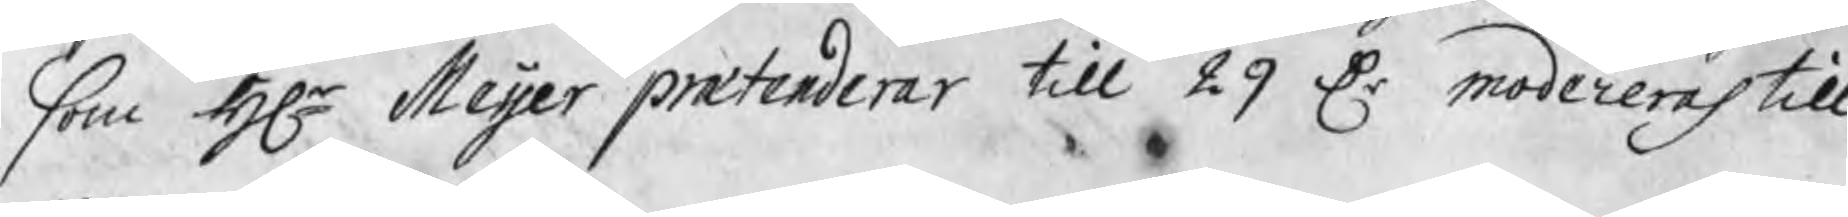som Hr Meijer prætenderar till 29 Dr modereras till
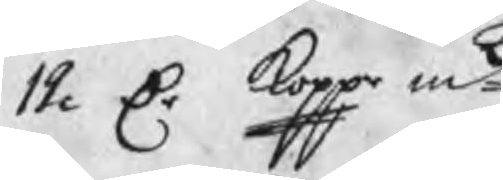12 Dr kopp mt.
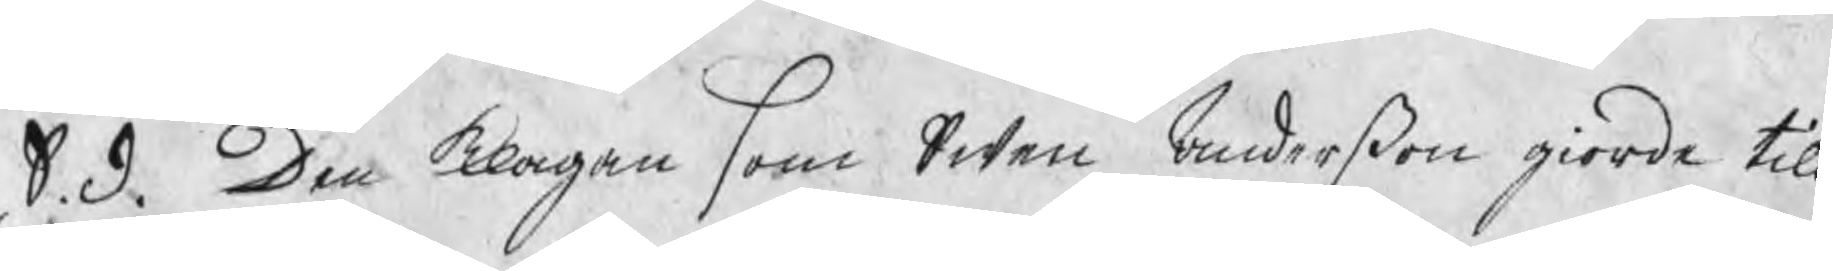S. d. Den klagan som Swen Anderßon giorde till
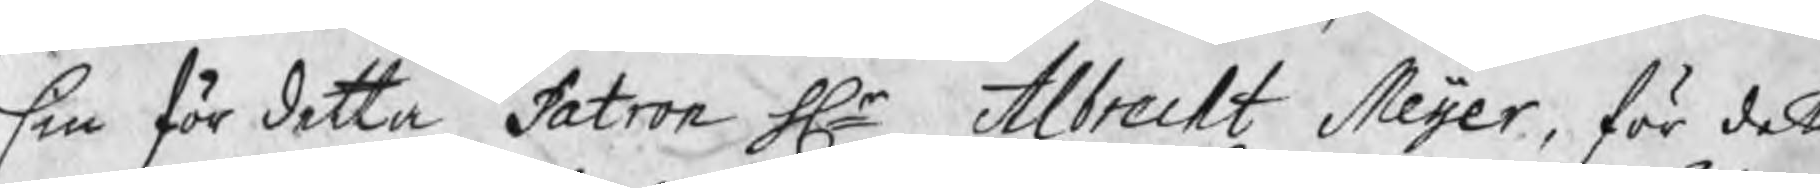sin för detta Patron Hr Albrecht Meijer, för det
